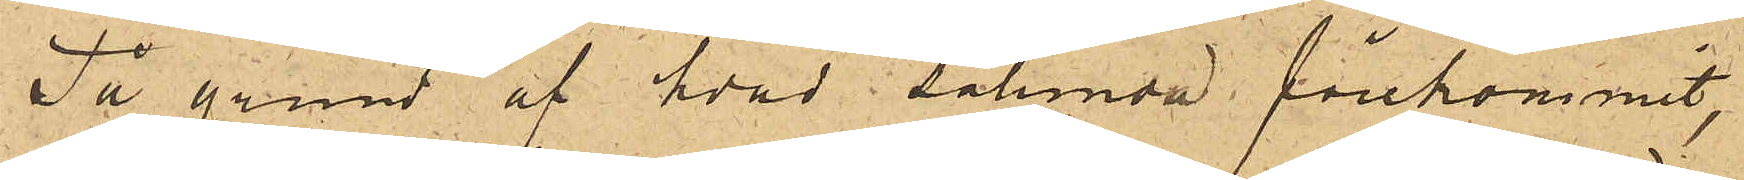På grund af hvad sålunda förekommit,
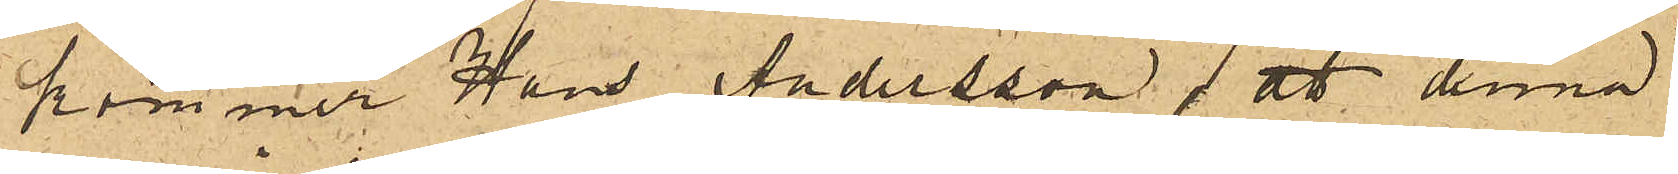kommer Hans Andersson att denna
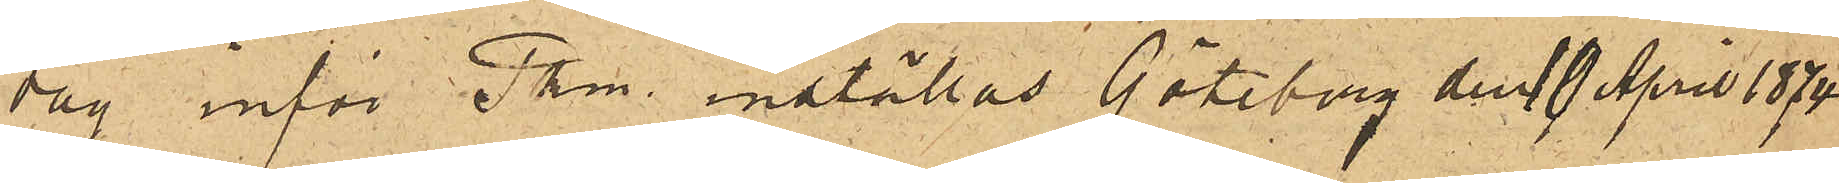dag inför Pkm  inställas. Göteborg den 10 April 1874
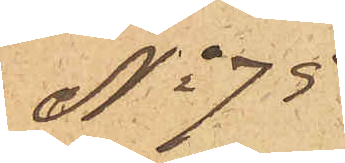No 75.
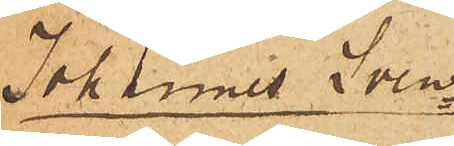Johannes Sven¬
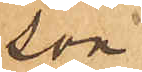son.
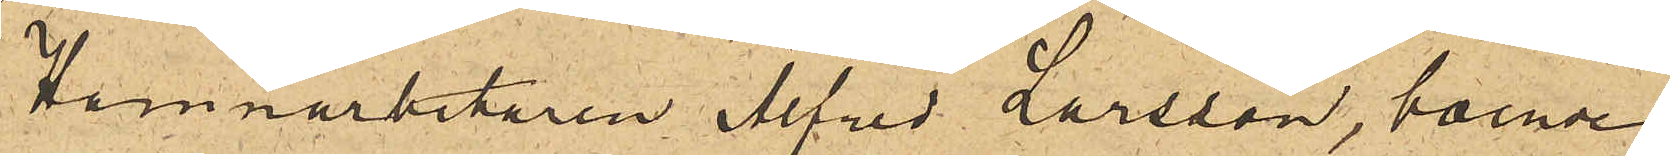Hamnarbetaren Alfred Larsson, boende
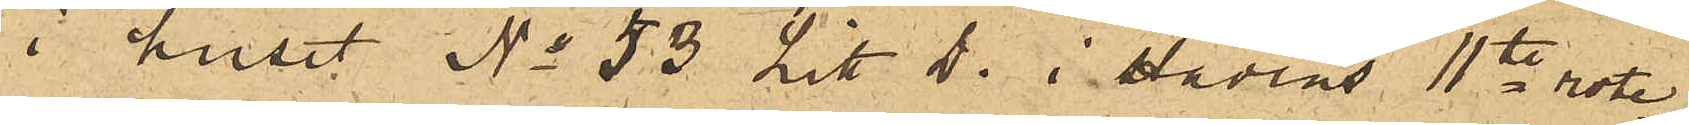i huset No 53 Litt D. i stadens 11te rote,
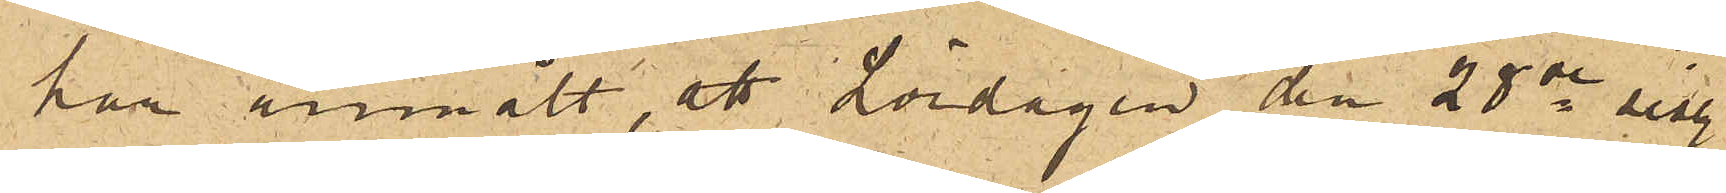har anmält, att Lördagen den 28de sist.
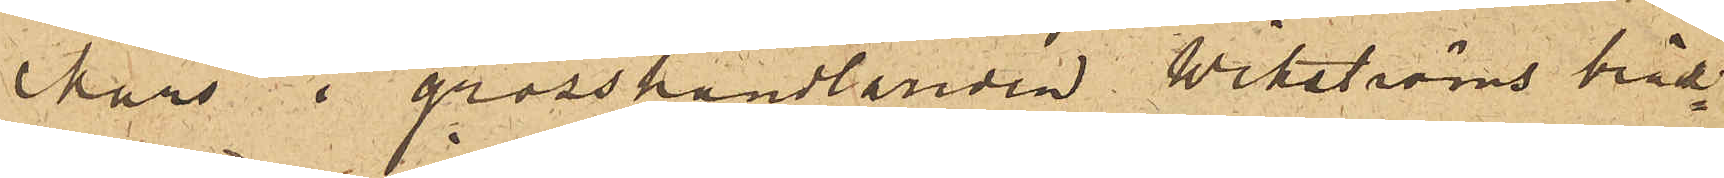Mars i grosshandlanden Wikströms bräd¬
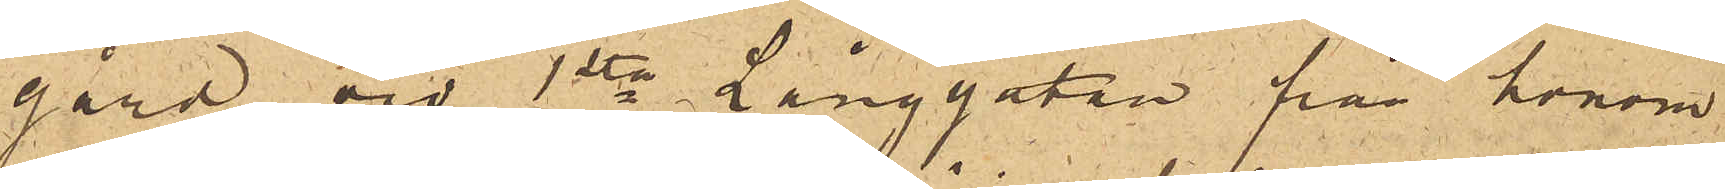gård vid 1sta Långgatan från honom
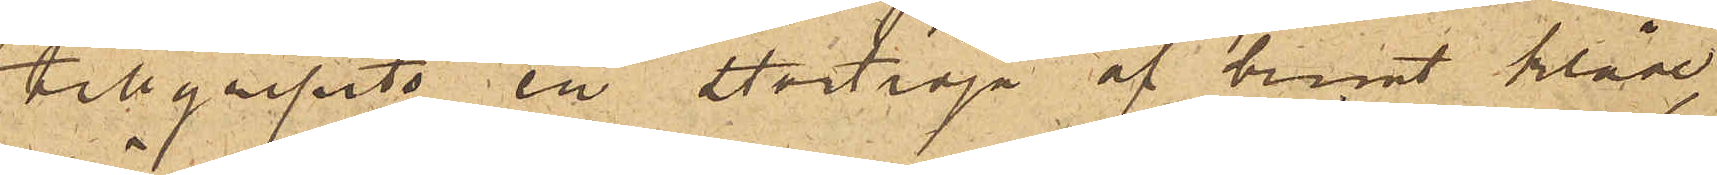tillgripits en stortröja af brunt kläde,
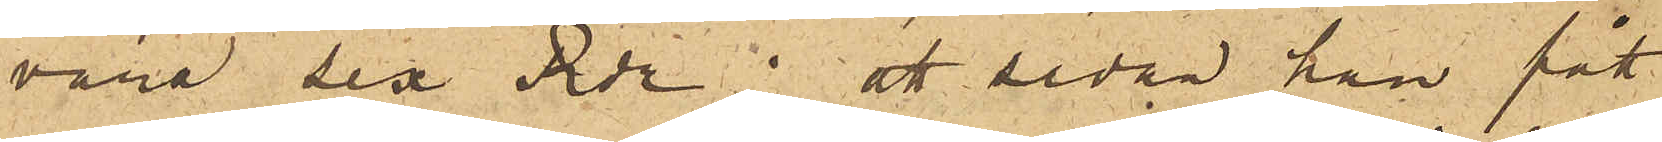värd sex Rdr; att sedan han fått
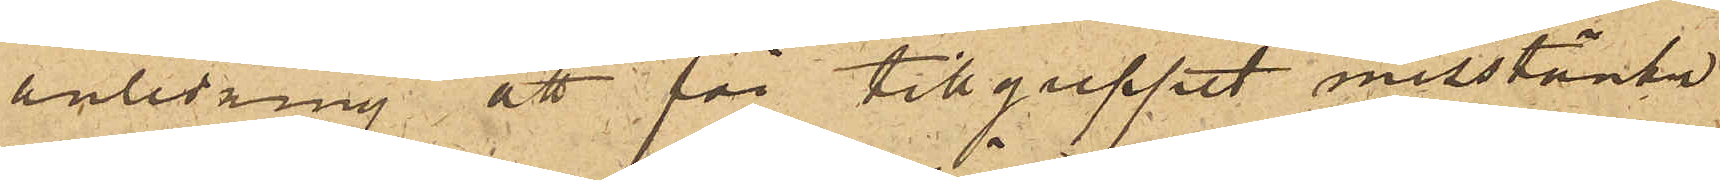anledning att för tillgreppet misstänka
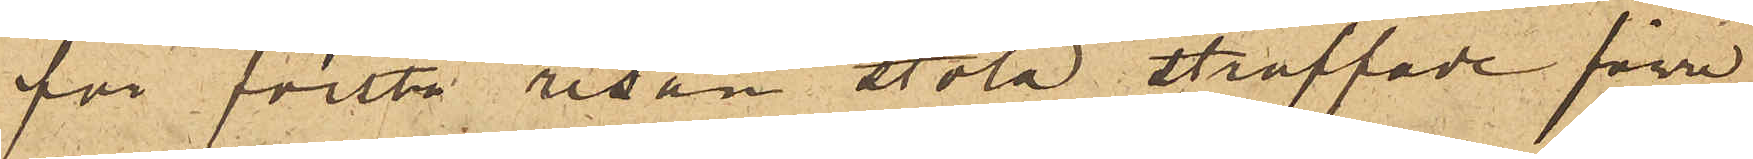för första resan stöld straffade förre
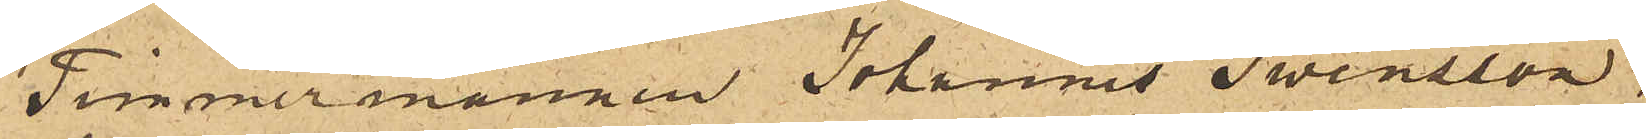Timmermannen Johannes Swensson,
